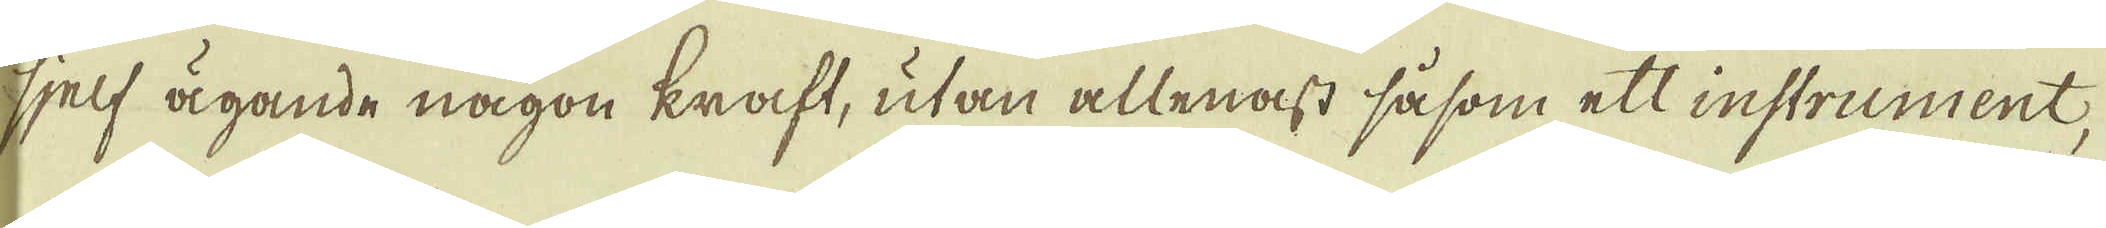sjelf ägande någon kraft, utan allenast såsom ett instrument,
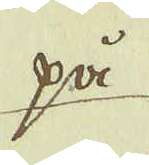på
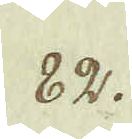82.
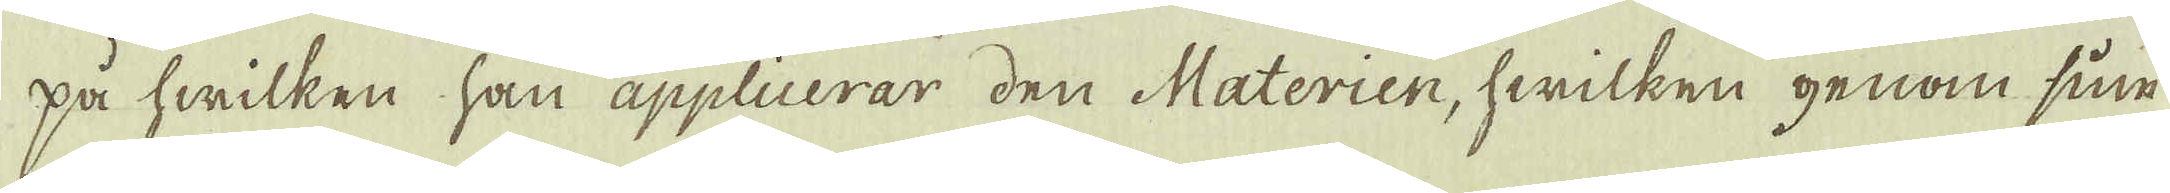på hwilken han applicerar den Materien, hwilken genom sin
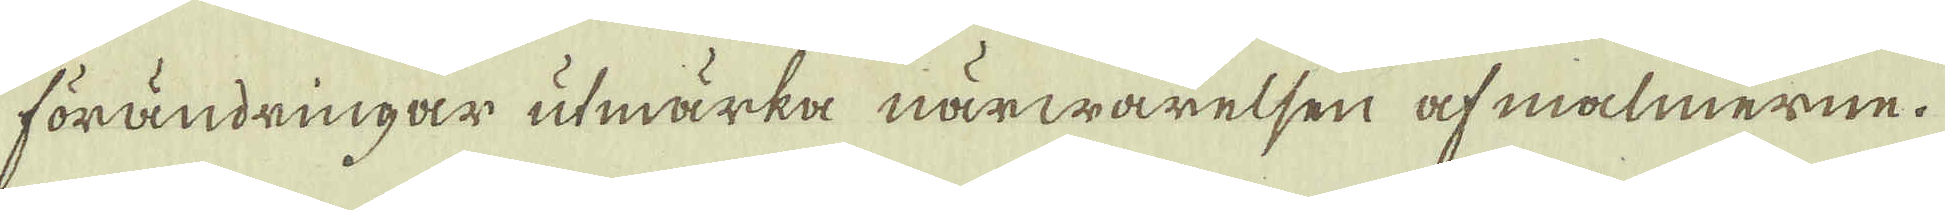förändringar utmärka närwarelsen af malmerne.
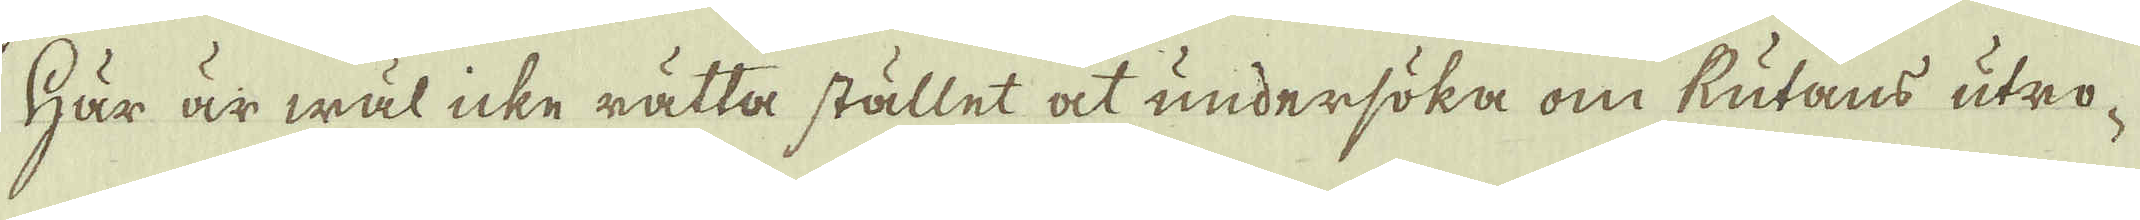Här är wäl icke rätta stället at undersöka om Rutans utro-
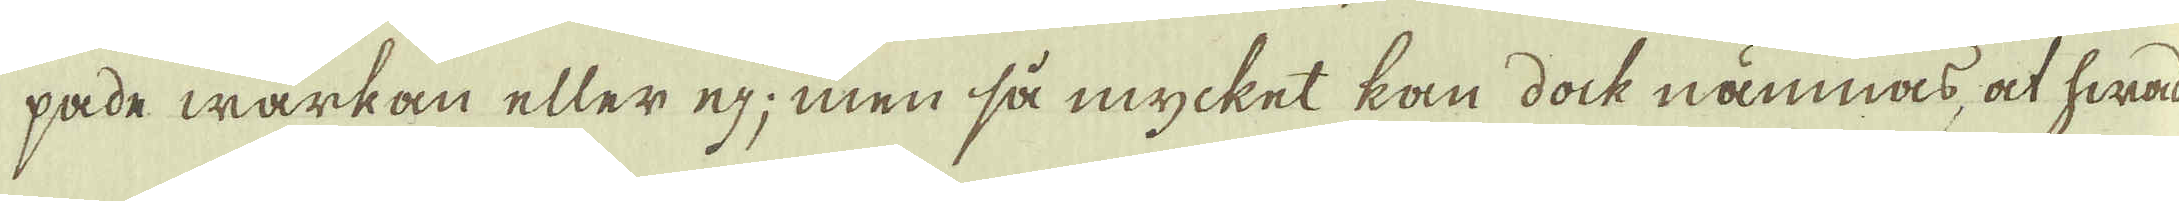pade wärkan eller ej; men så mycket kan dock nämnas, at hwad
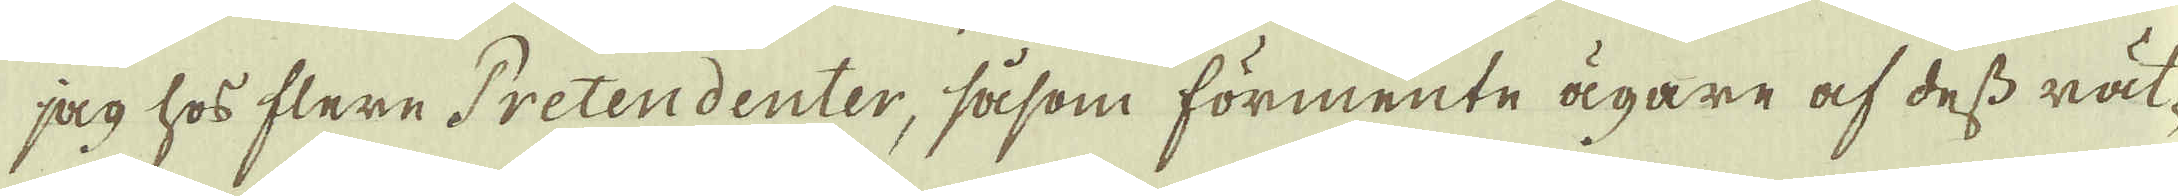jag hos flere Pretendenter, såsom förmente ägare af dess rät-
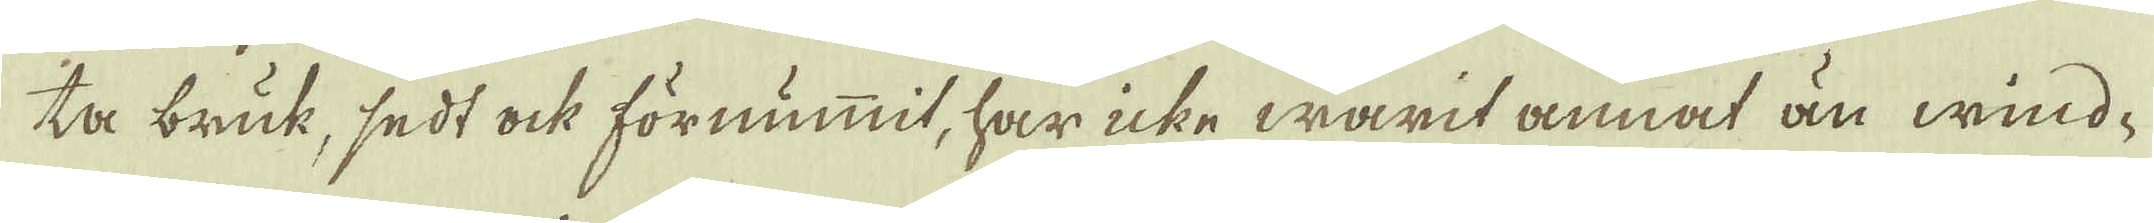ta bruk, sedt ock förnummit, har icke warit annat än wind-
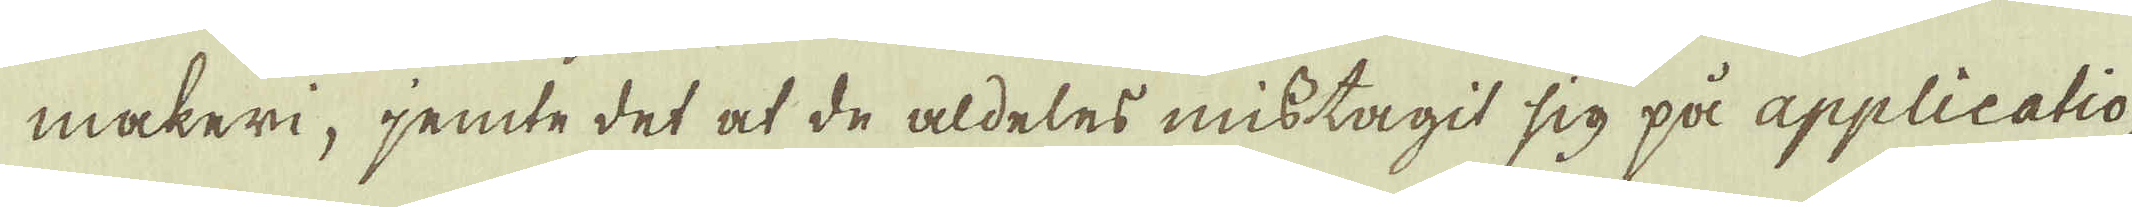maker, jemte det at de aldeles mistagit sig på applicatio-
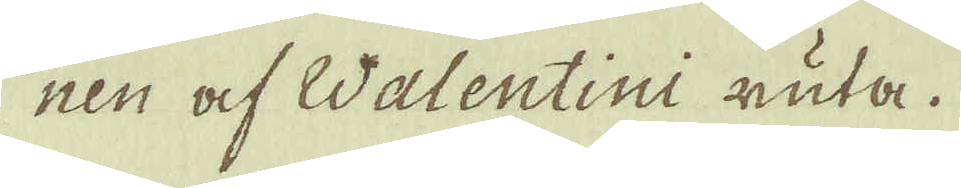nen af Walentini ruta.
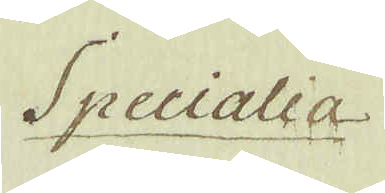Specialia
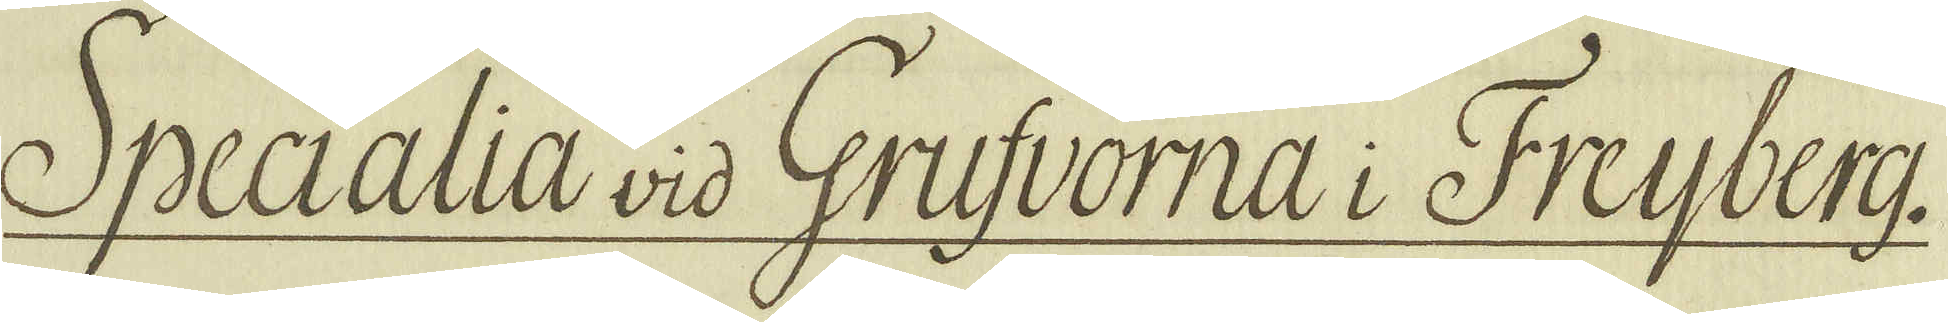Specialia vid Grufvorna i Freijberg.
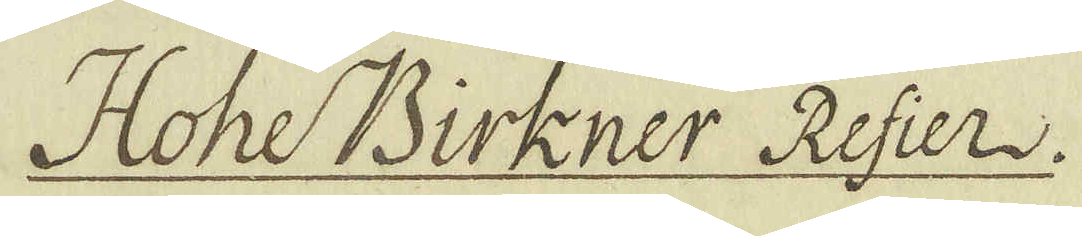Hohe Birkner Refier.
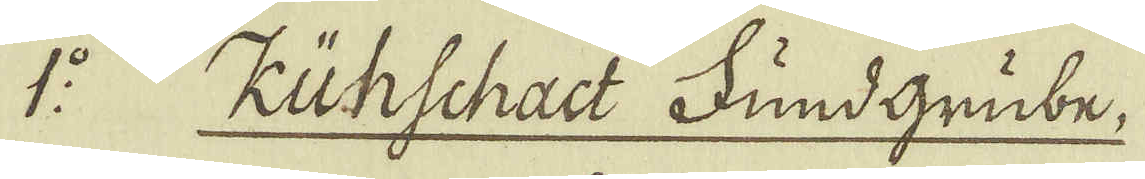1:o Kühschact FundGrube,
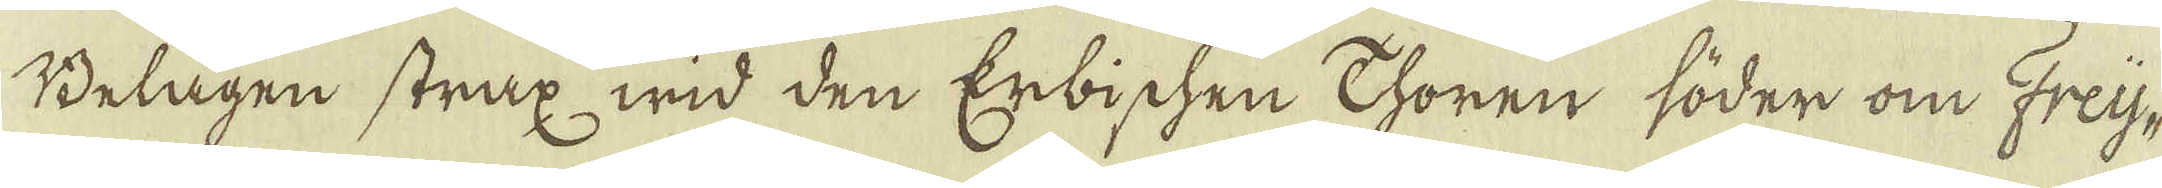Belagen strax wid den Erbichen Thoren söder om Freij-
